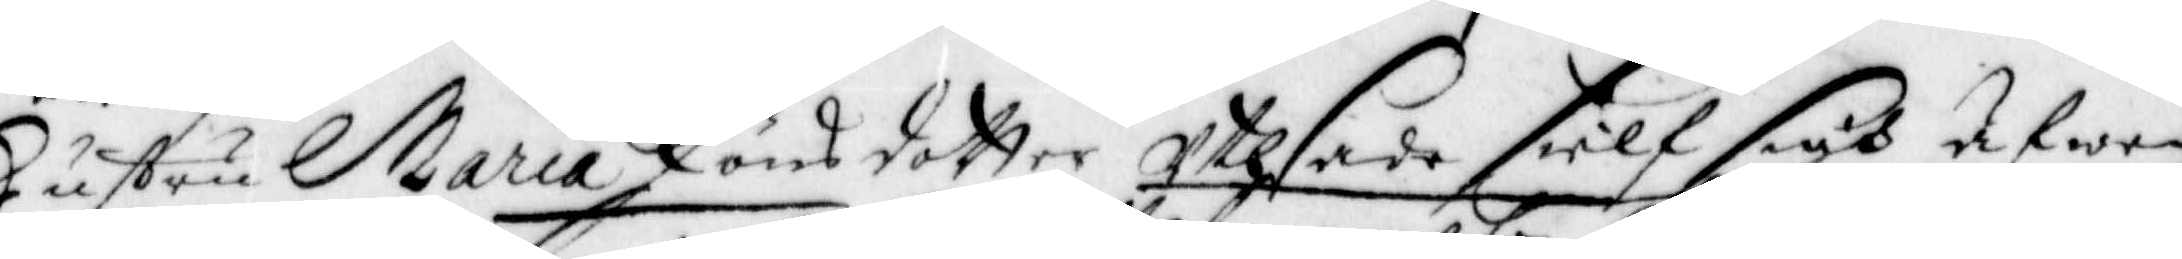Hustru Maria Jönsdotter Uthsade sielf sigh äfwen
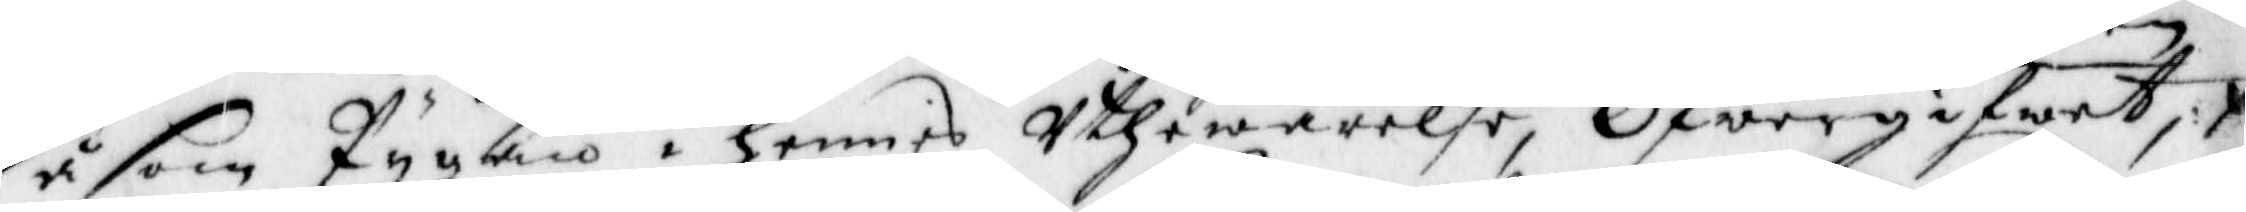såsom Pygan i hennes Uthewarelse, Öfwegifwet;
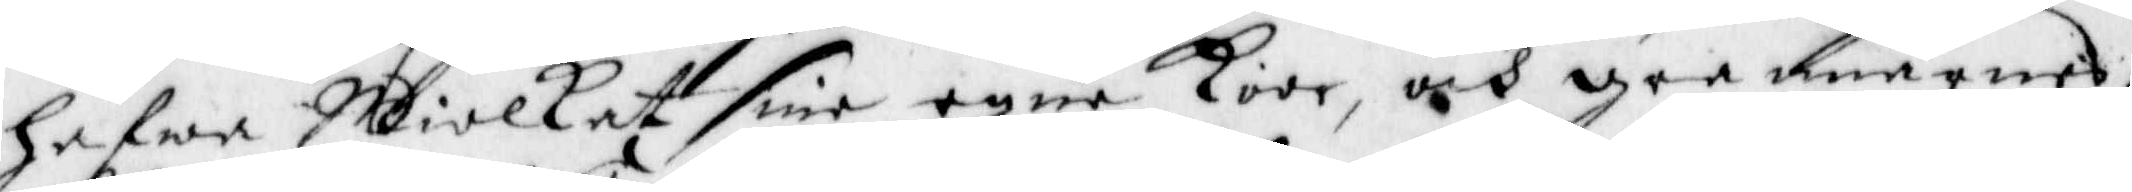hafwa Miolkat sine egne koor, och grannarnes,
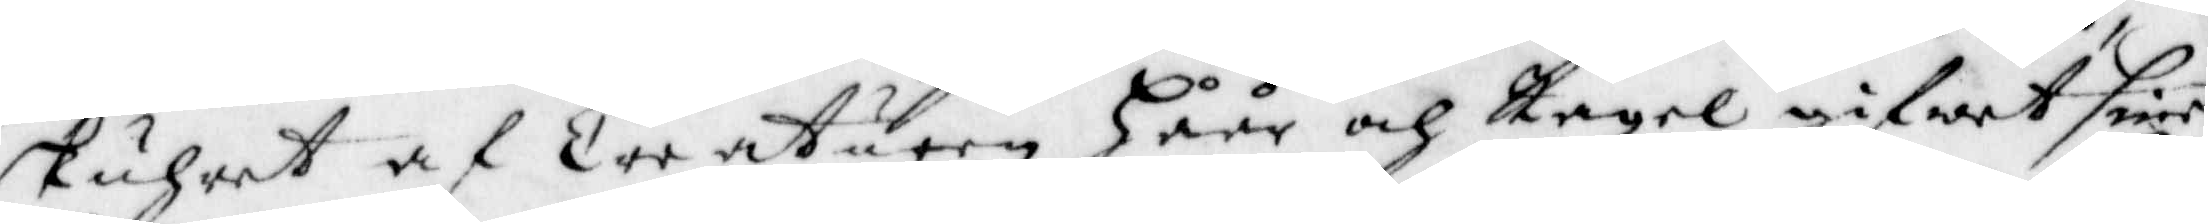skuhrat at Creaturen håår och Tagel gifwit sine
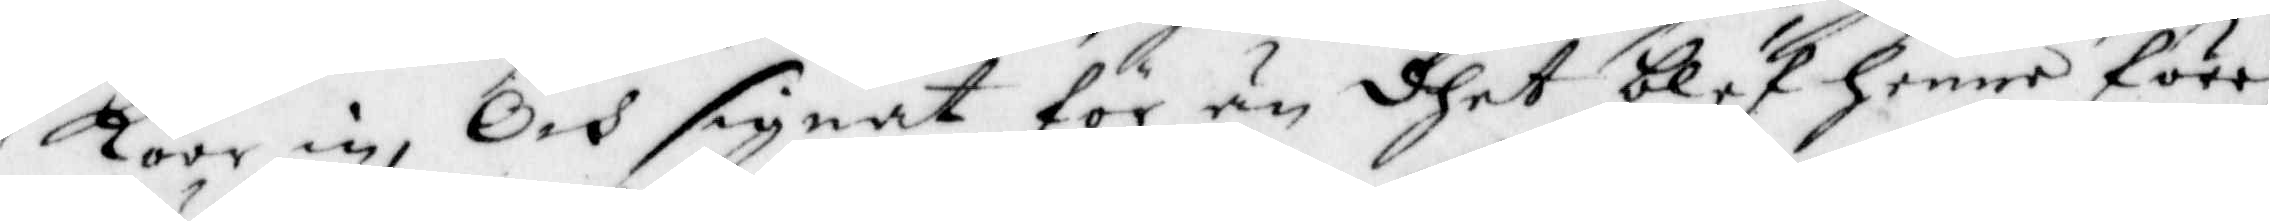koor in, Och signat för än dhet blef henne före¬
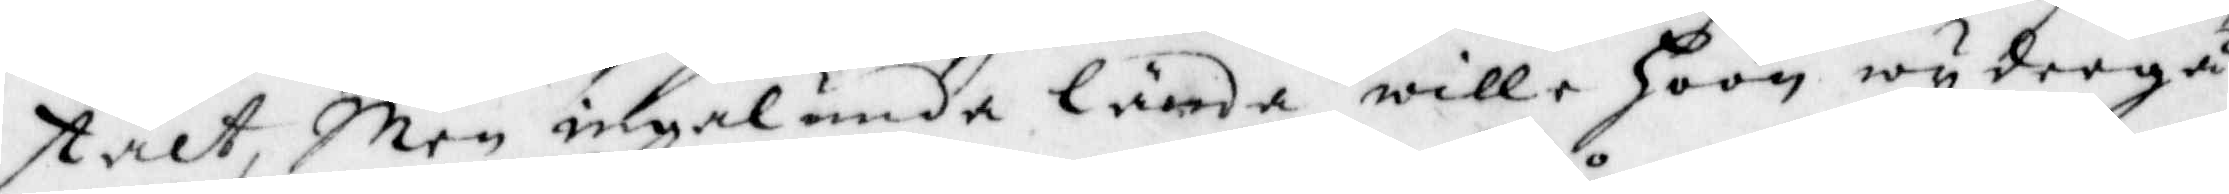stält, Men ingalunda lända wille hoon wydergå
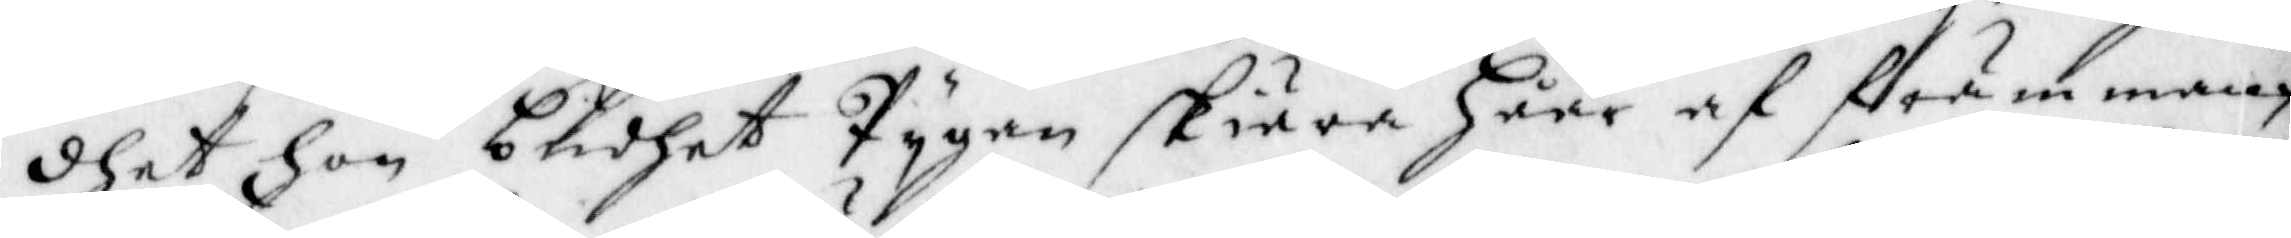dhet hon budhet Pygan skiära håår af främman¬
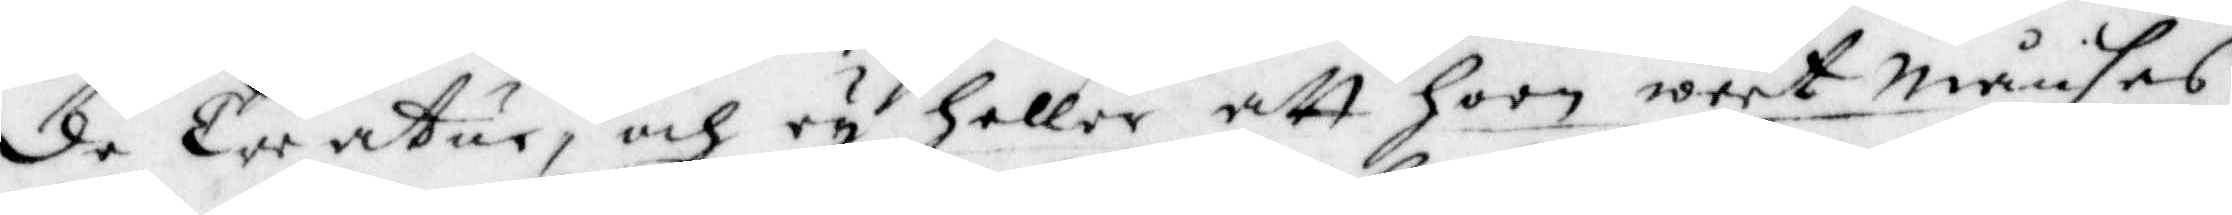de Creatur, och ey heller att hoon weet Månses
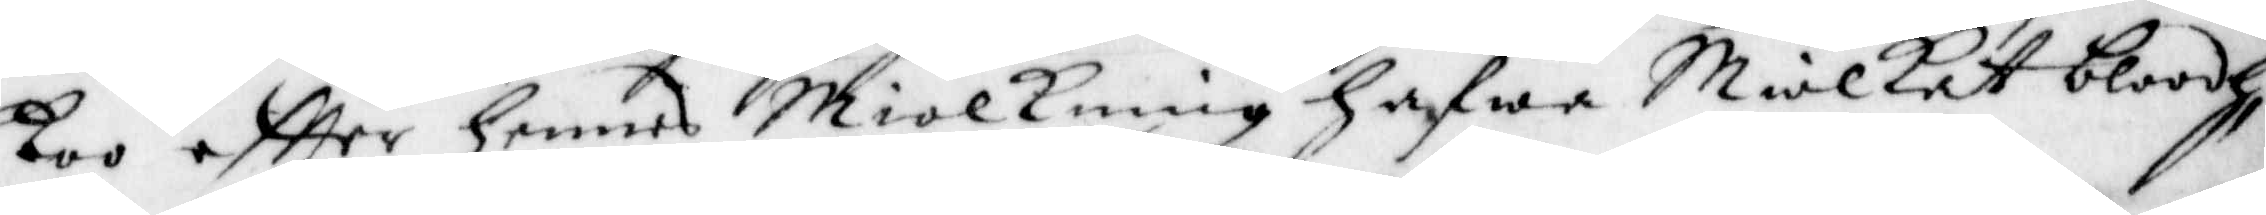koo eftter hennes Miolkning hafwa Miolkat bloodh,
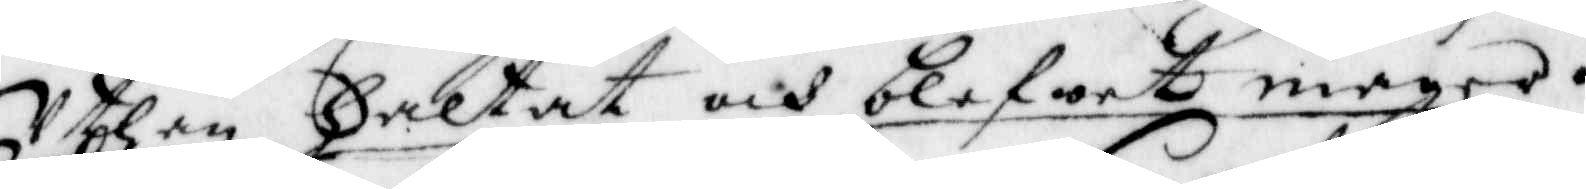Uthan haltat och blefwet magra.
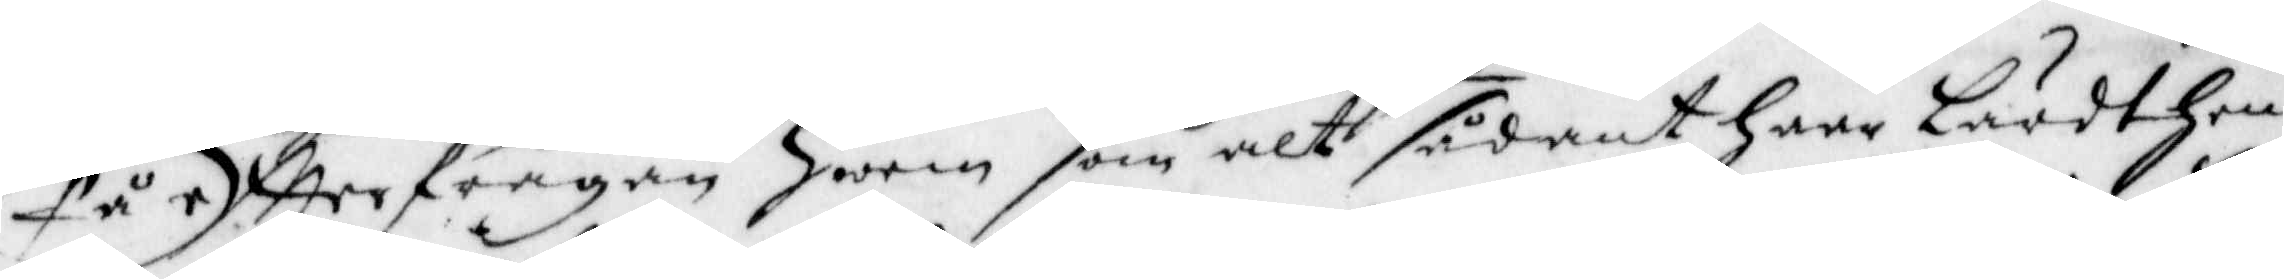på eftterfrågan hwem som alt sådant haar lärdt hen¬
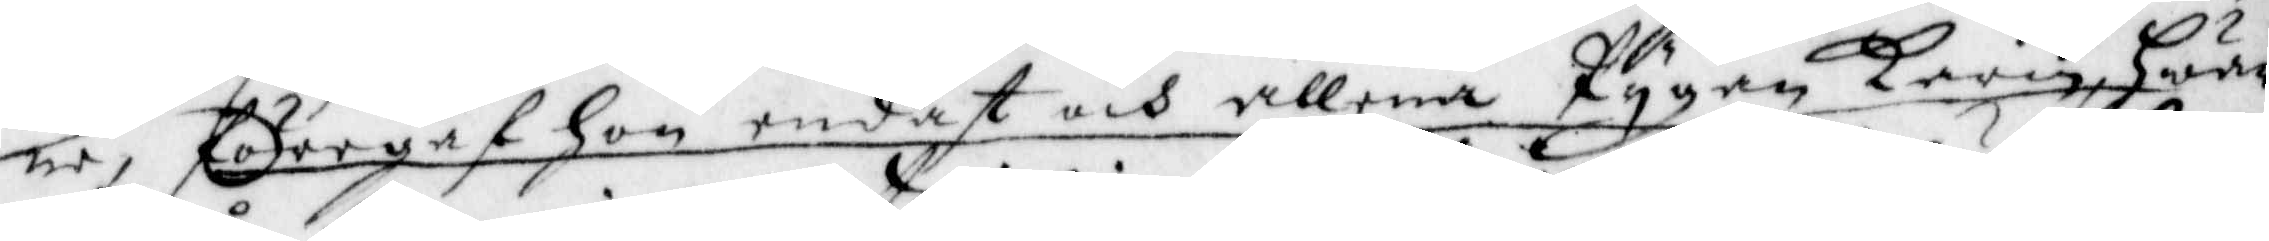ne, föregaf hon endast och allena Pygan Karin, hwar
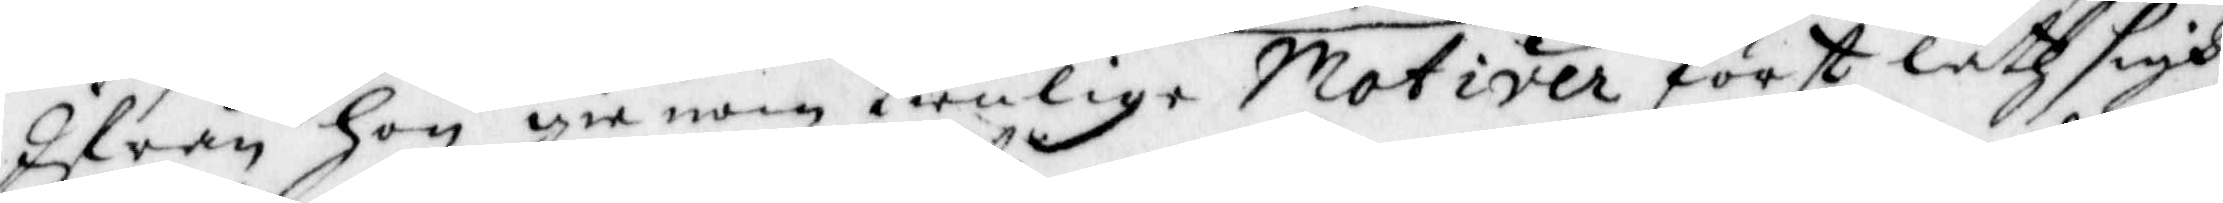Ifrån hon gienom tienlige Motiver först läth sigh
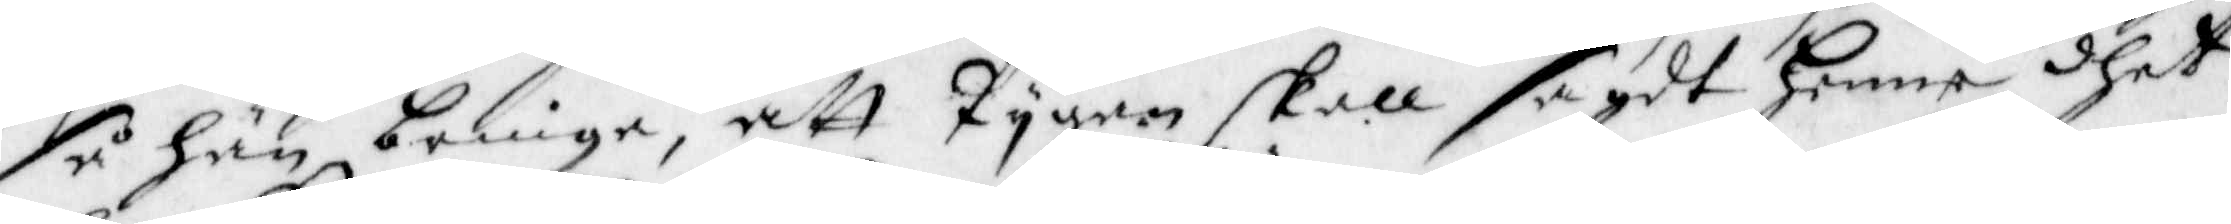så hän bringa, att Pygan skall sagdt henne dhet
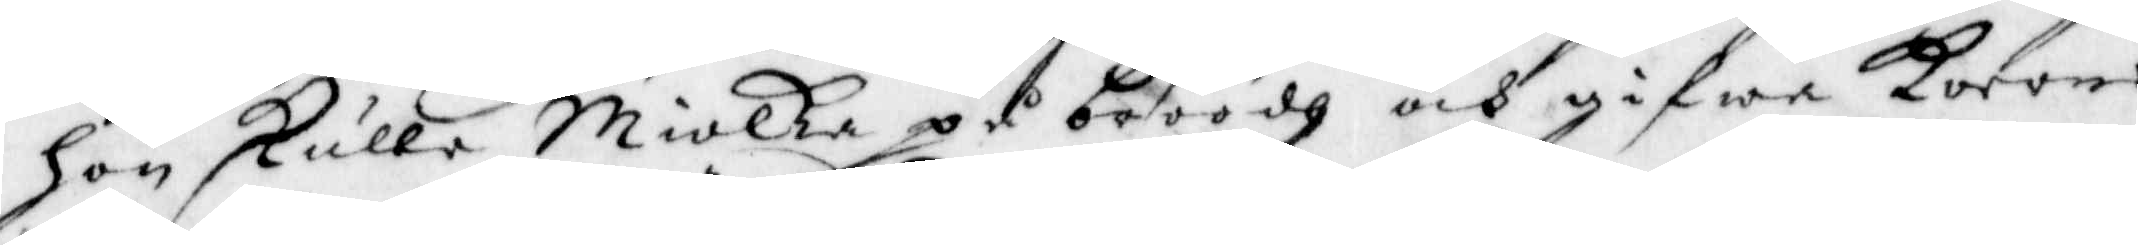hon skulle Miolka på bröödh och gifwa korone,
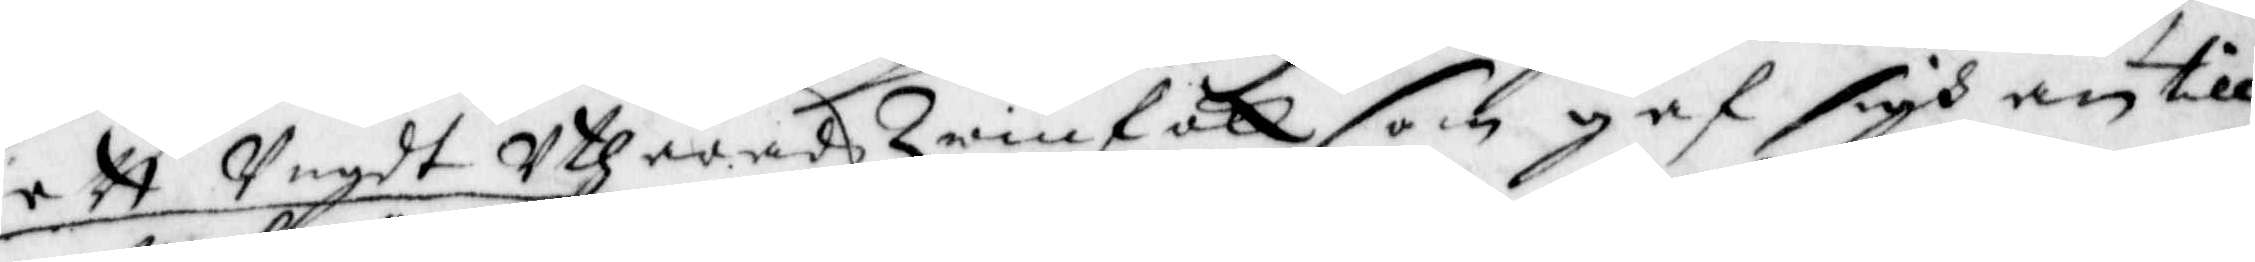ett Ungdt Uthäradh Qwinfolk som gaf sigh an till
